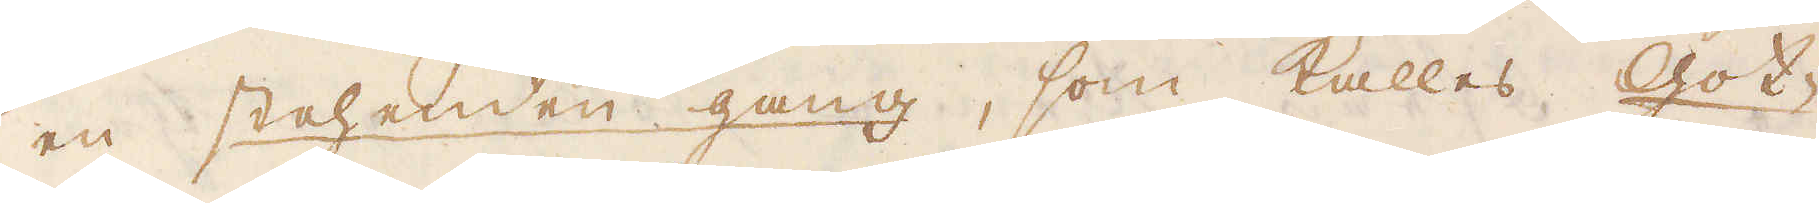en stahenden gång, som kallas Got-
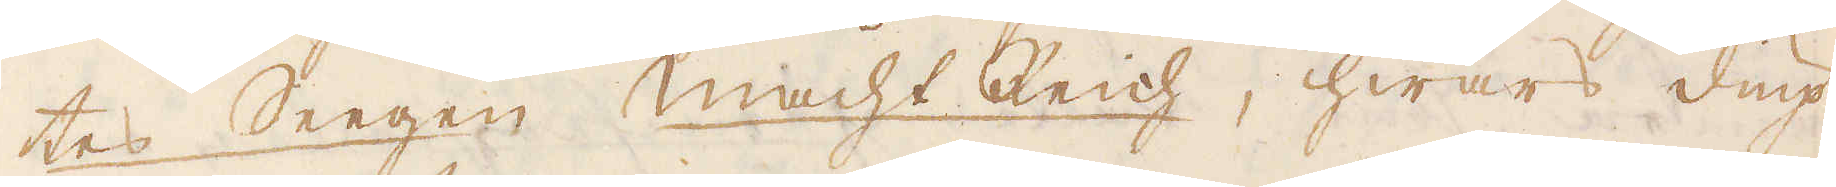tes Seegen Macht Reich, hwars diup
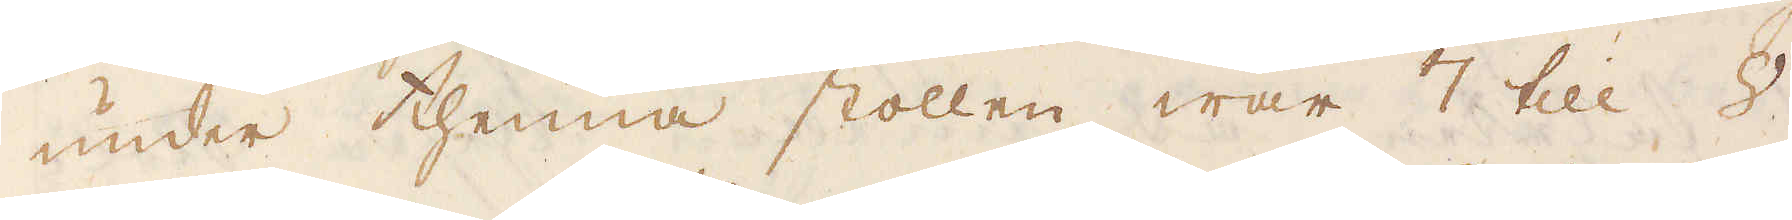under thenna stollen war 7 till 8
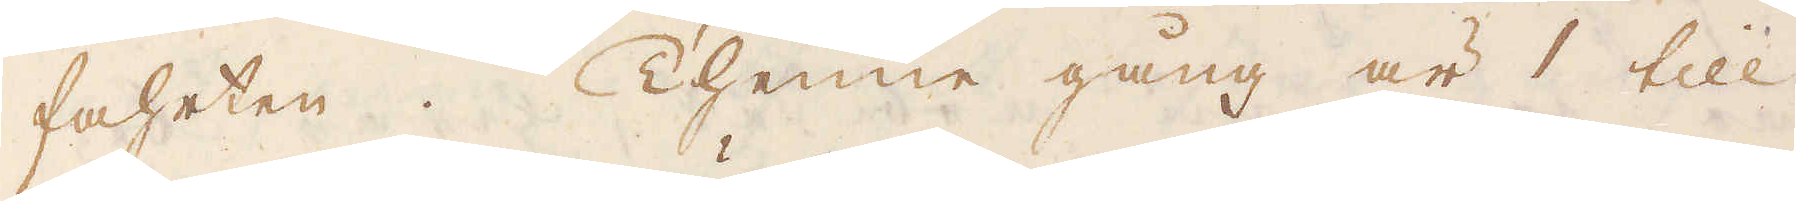fahrten. Thenne gång är 1 till
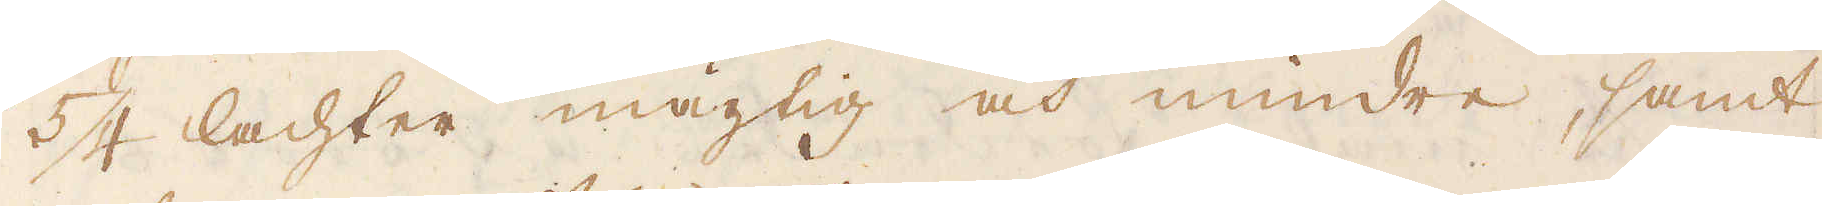5/4 lachter mägtig och mindre, samt
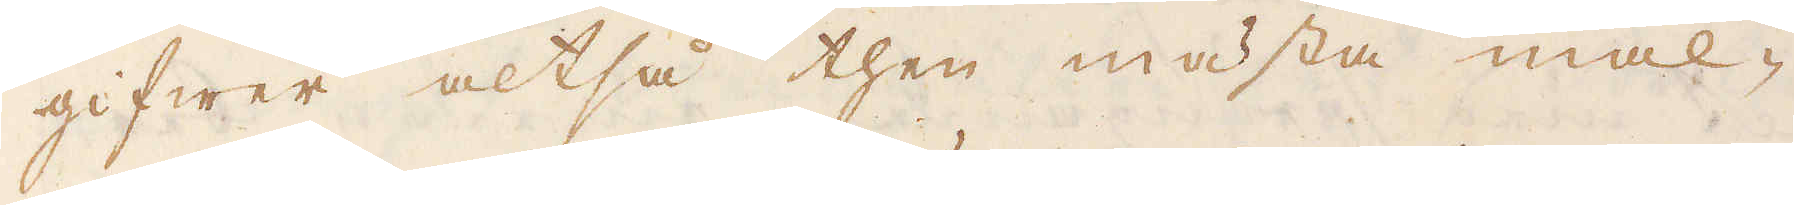gifwer altså then mästa mal-
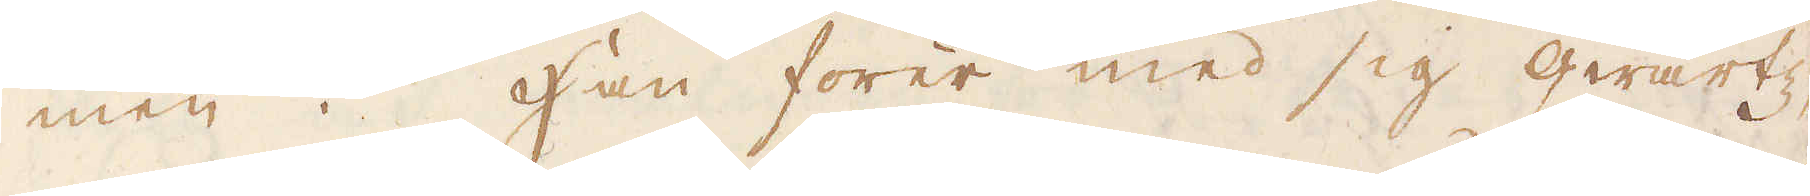men. Han förer med sig qwartz,
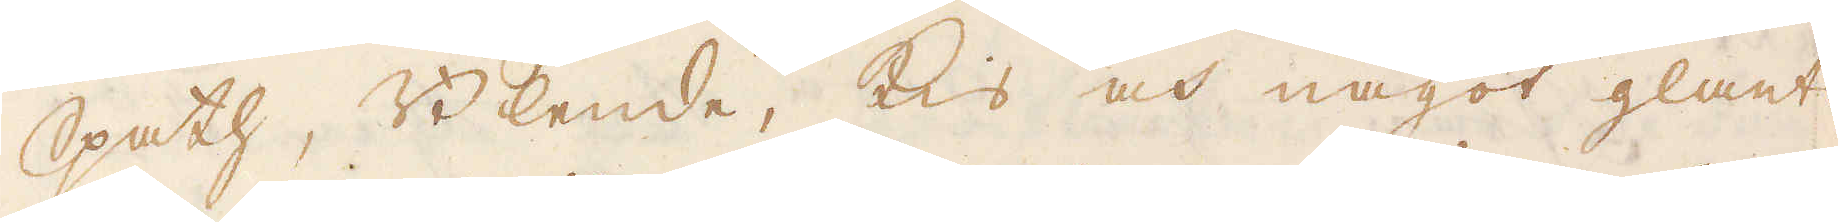Spath, Blende, Kis och något glants.
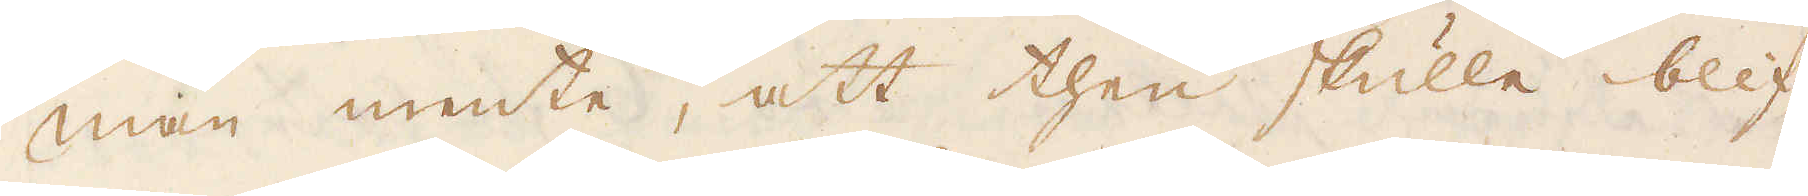Man mente, att then skulle blif-
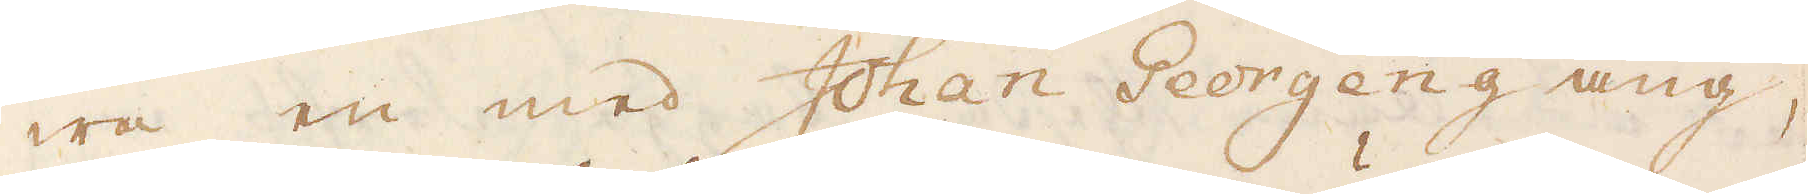wa en med Johan Georgeng ang,
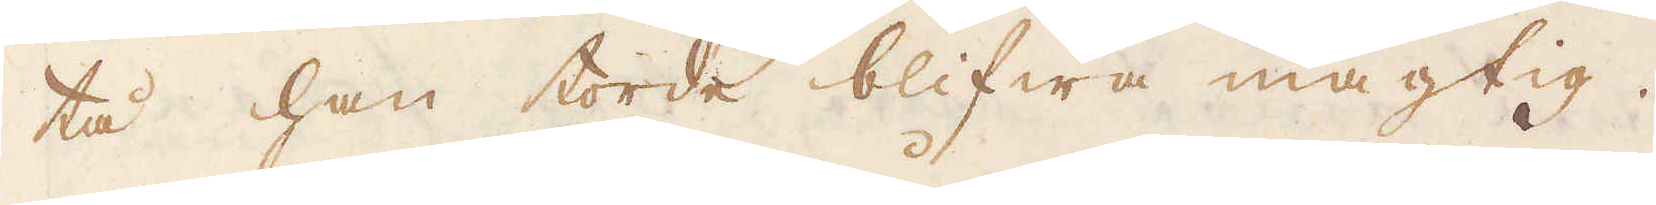tå han torde blifwa mägtig.
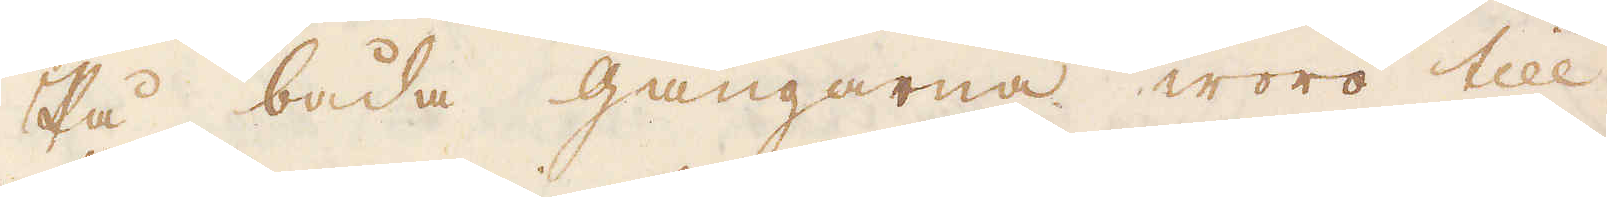På båda gångarna woro till
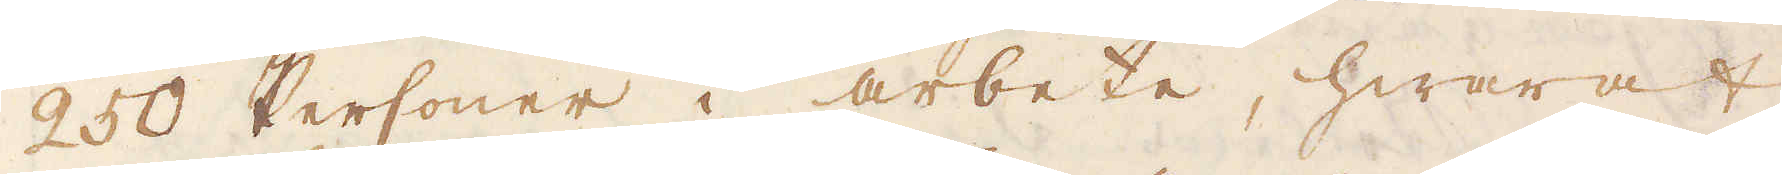250 Personer i arbete, hwaraf
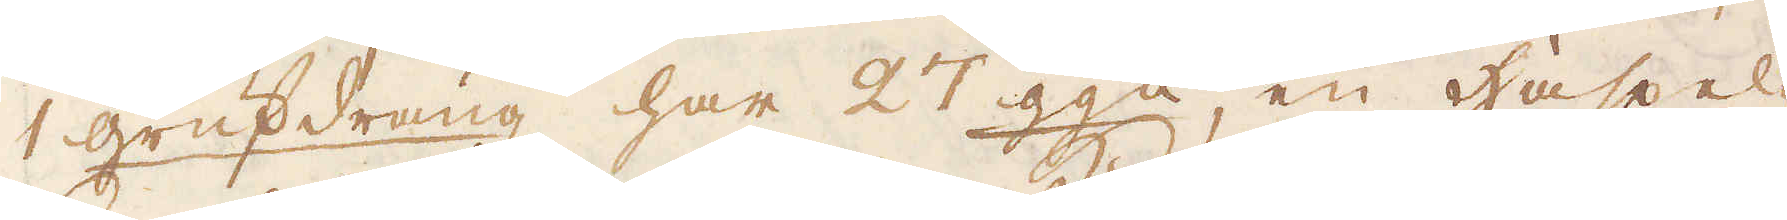1 grufdräng har 27 ggn, en Häspel,
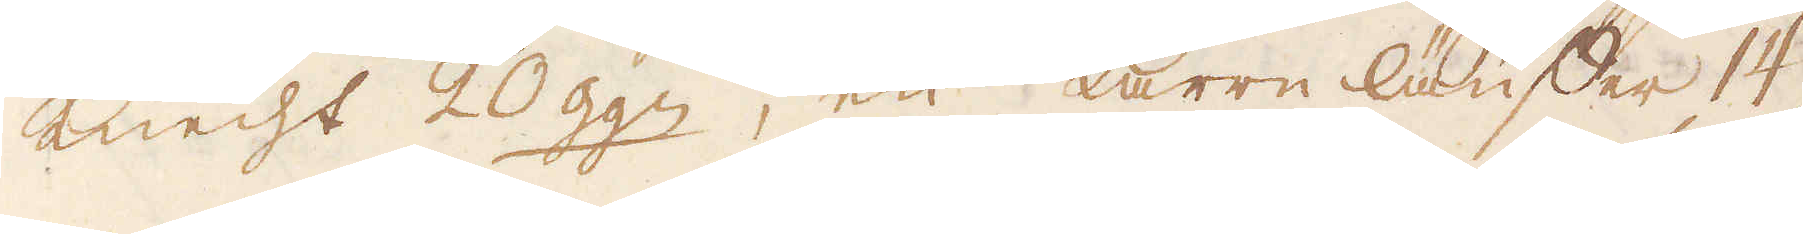Knecht 20 ggn, en Karre läusser 14
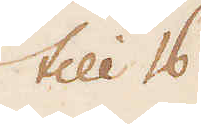till 16
